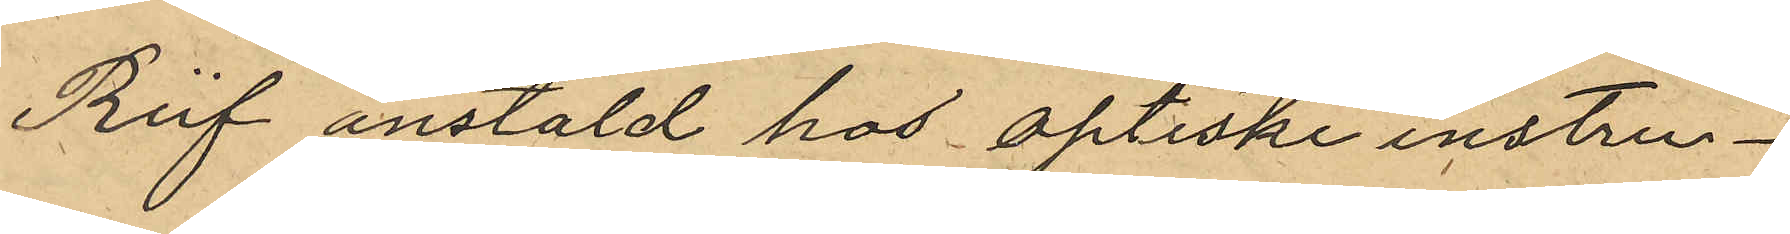Reif anstäld hos optiske instru¬
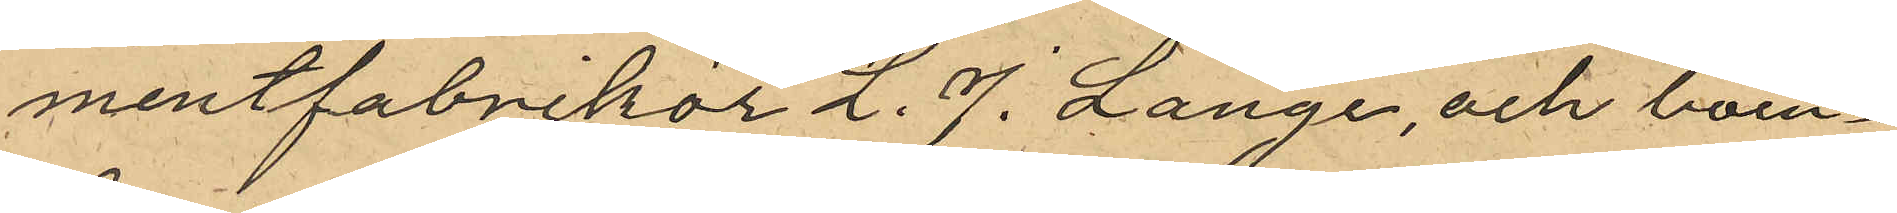mentfabrikör L. J. Lange, och boen¬
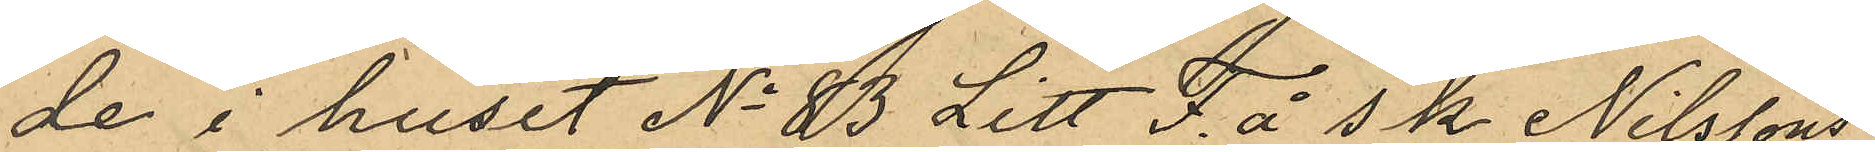de i huset No 83 Litt F. å s k Nilssons
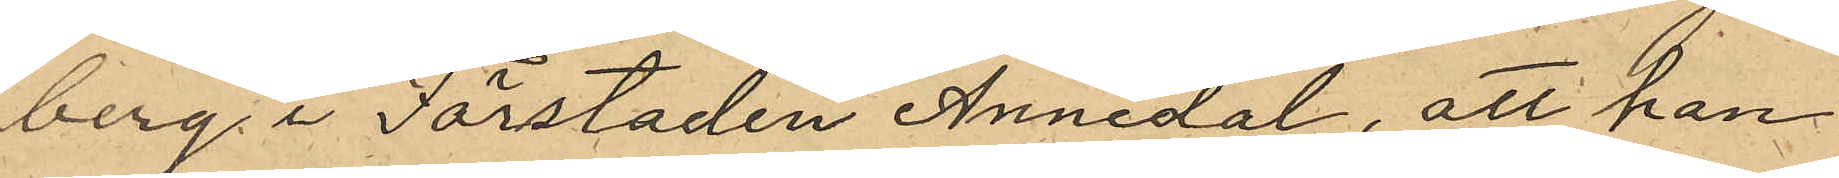berg i Förstaden Annedal, att han
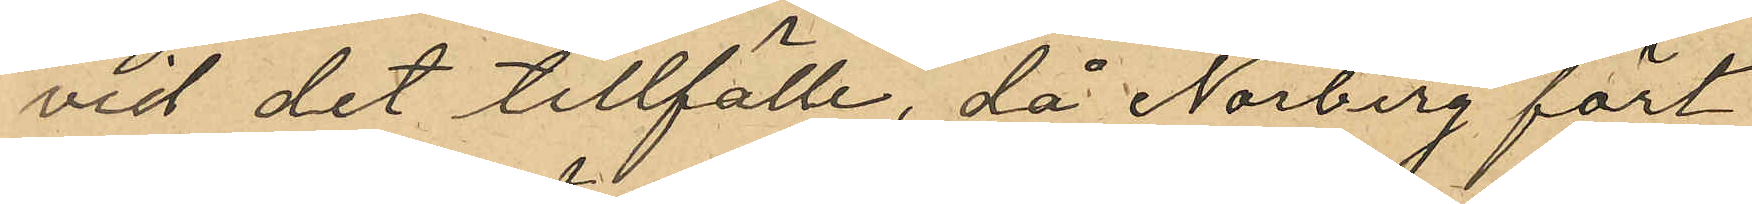vid det tillfälle, då Norberg fört
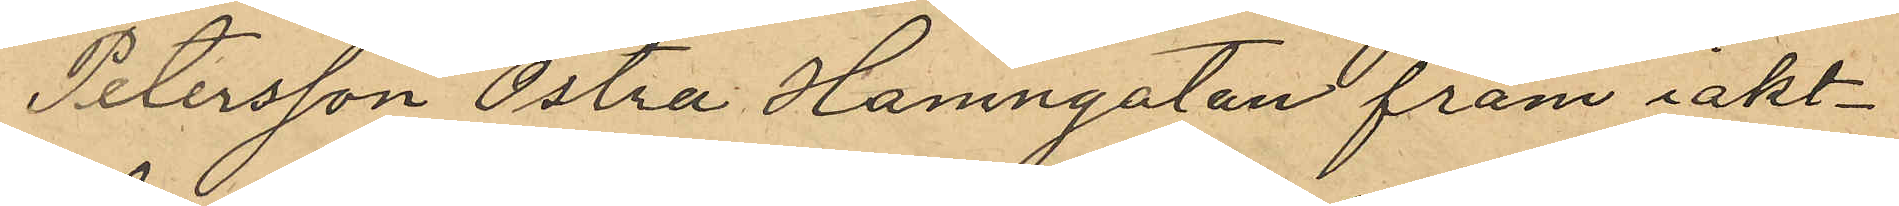Petersson Östra Hamngatan fram iakt¬
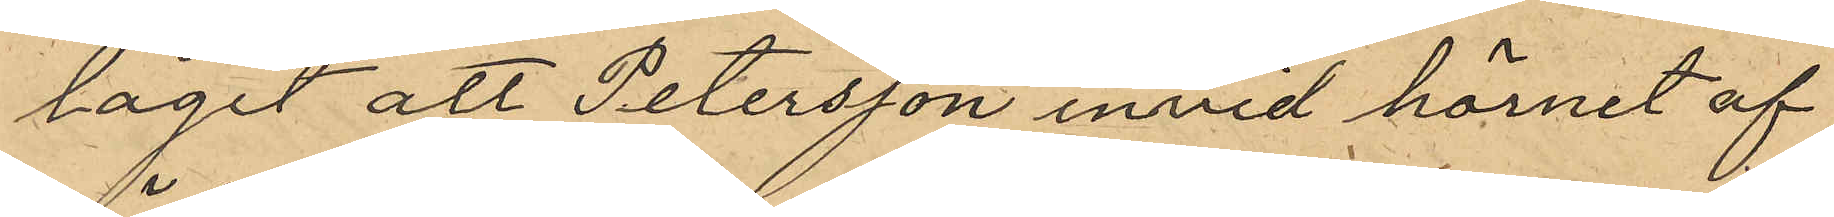tagit att Petersson invid hörnet af
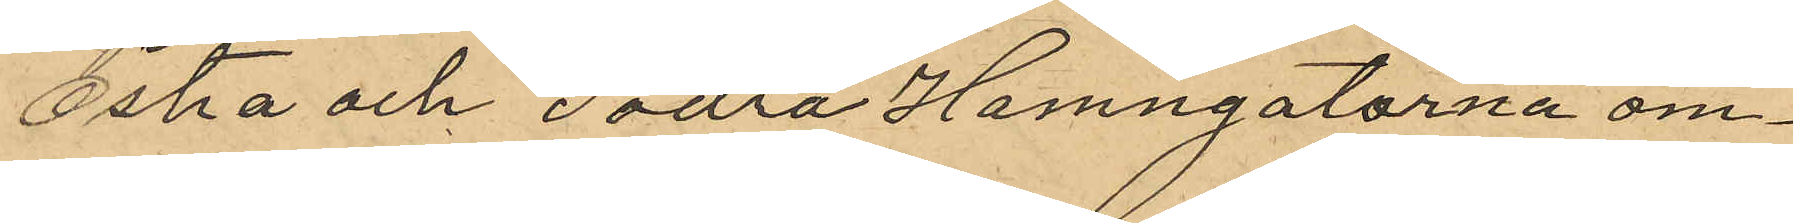Östra och Södra Hamngatorna om¬
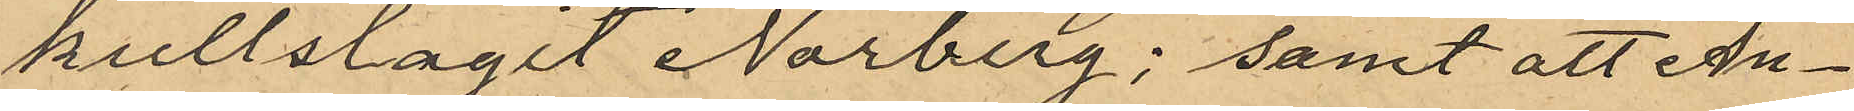kullslagit Norberg; samt att An¬
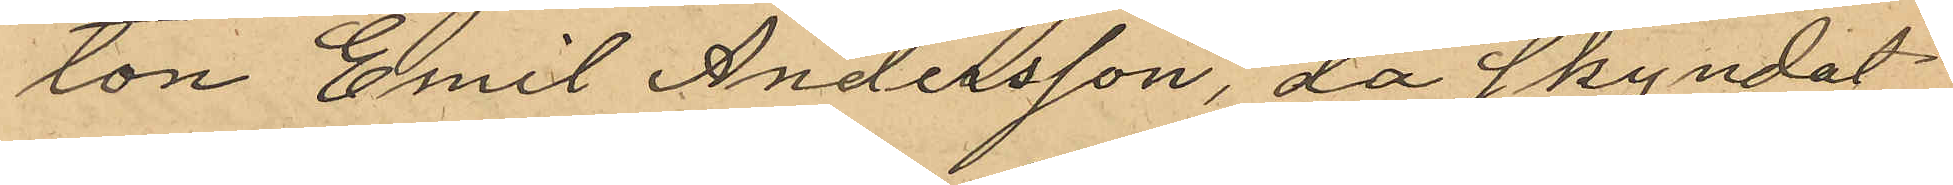ton Emil Andersson, då skyndat
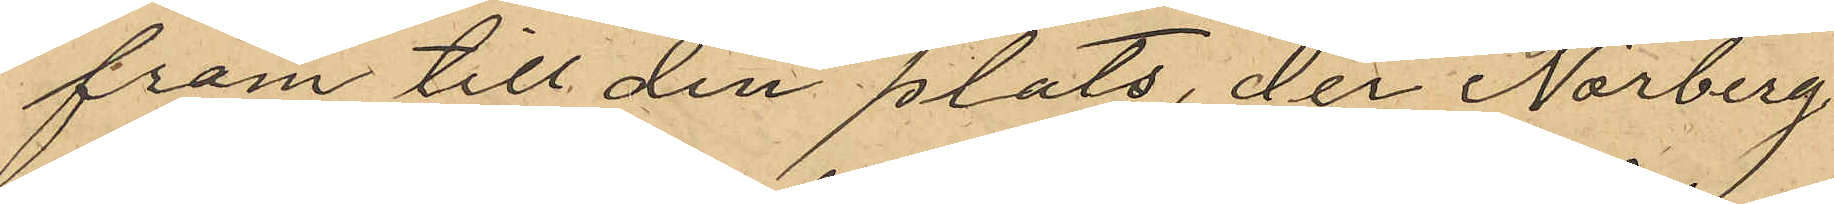fram till den plats, der Norberg
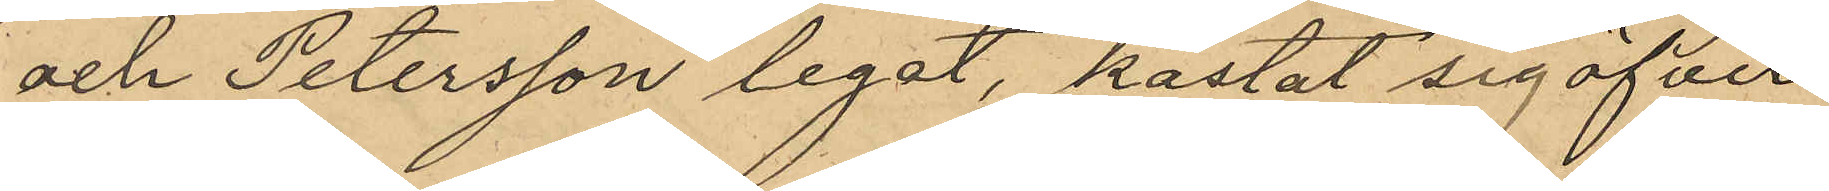och Petersson legat, kastat sig öfver
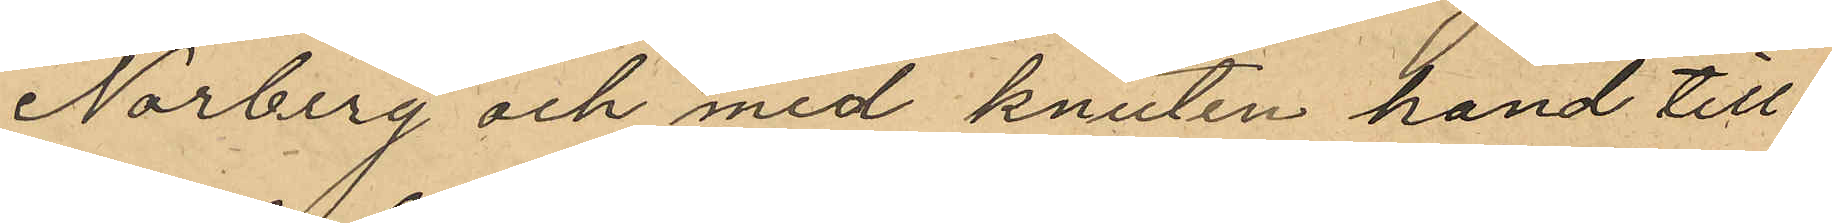Norberg och med knuten hand till¬
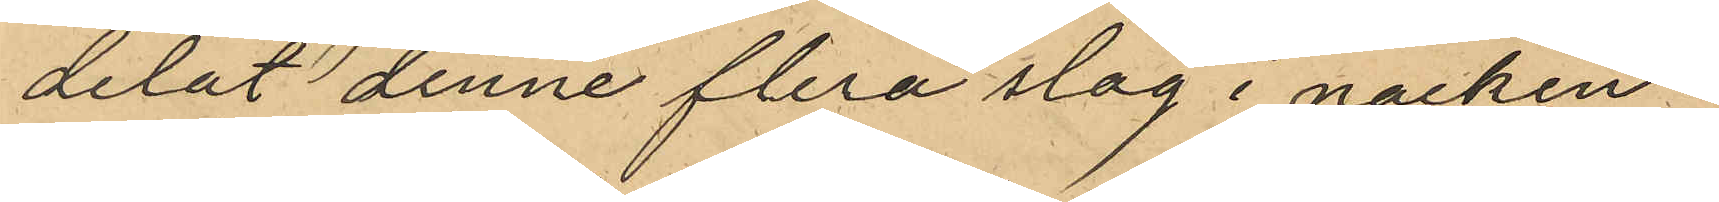delat denne flera slag i nacken.
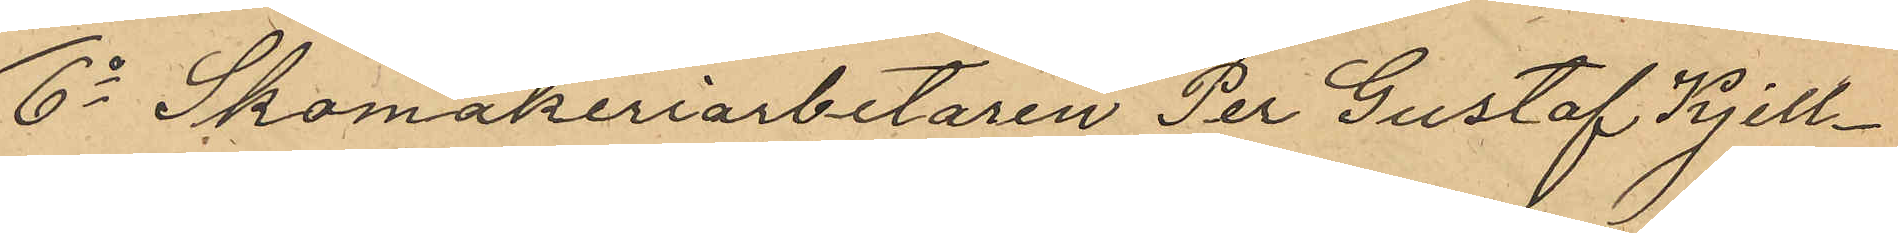6o Skomakeriarbetaren Per Gustaf Kjell¬
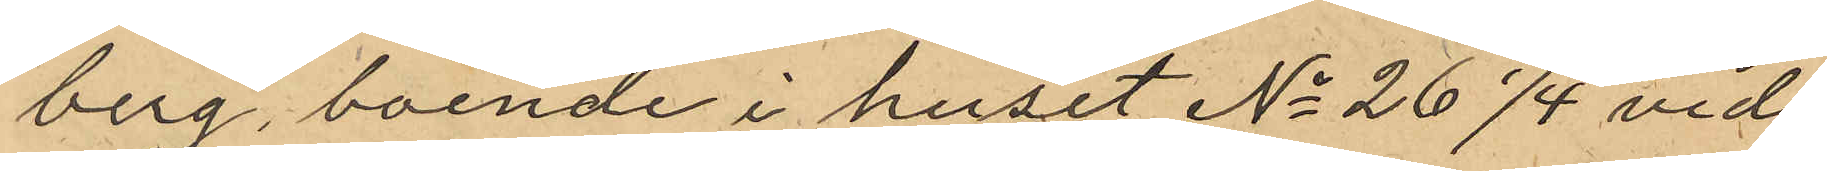berg, boende i huset No 26 1/4 vid
